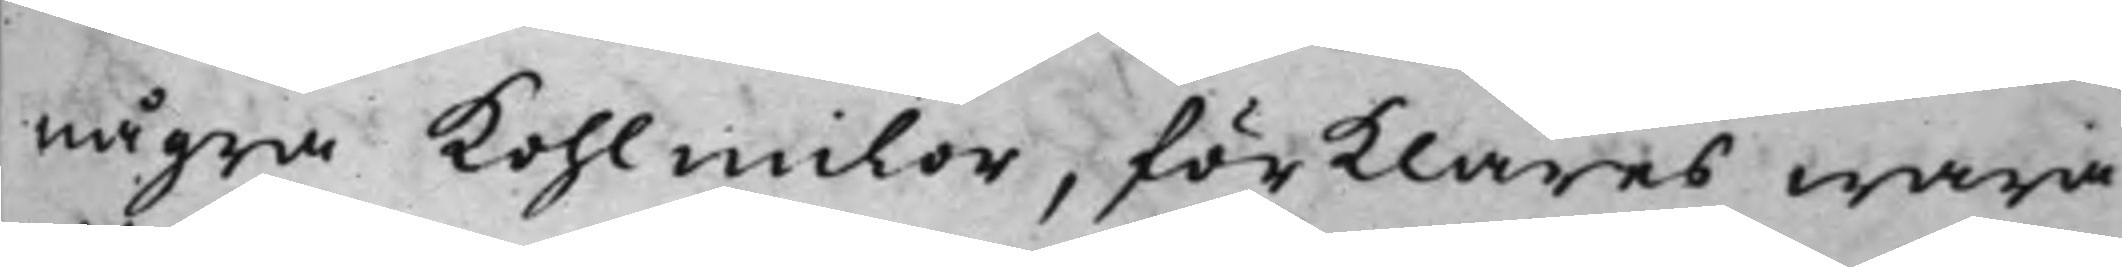några Kohlmilor, förklaras wara
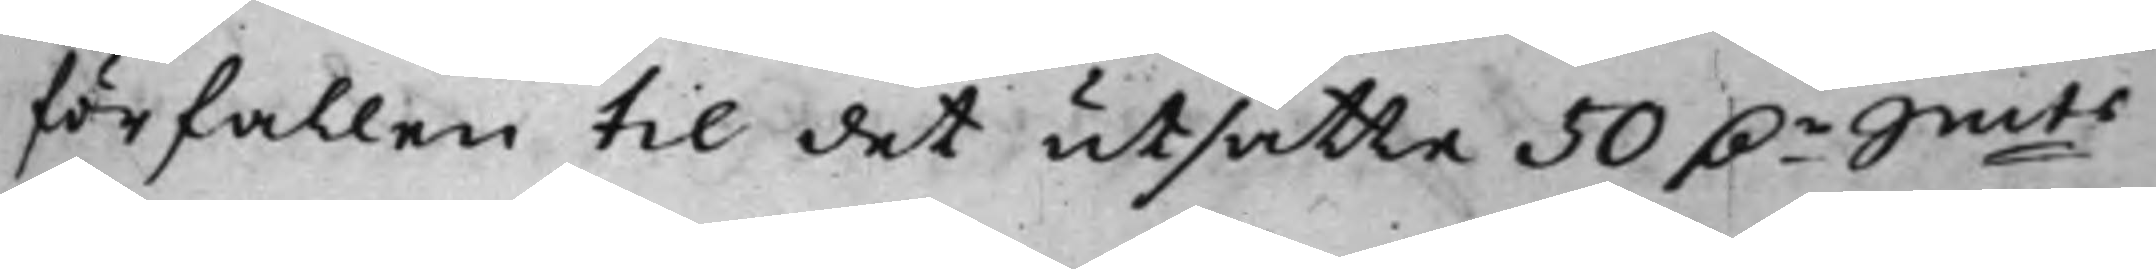förfallen till det utsatta 50 D.r Smts
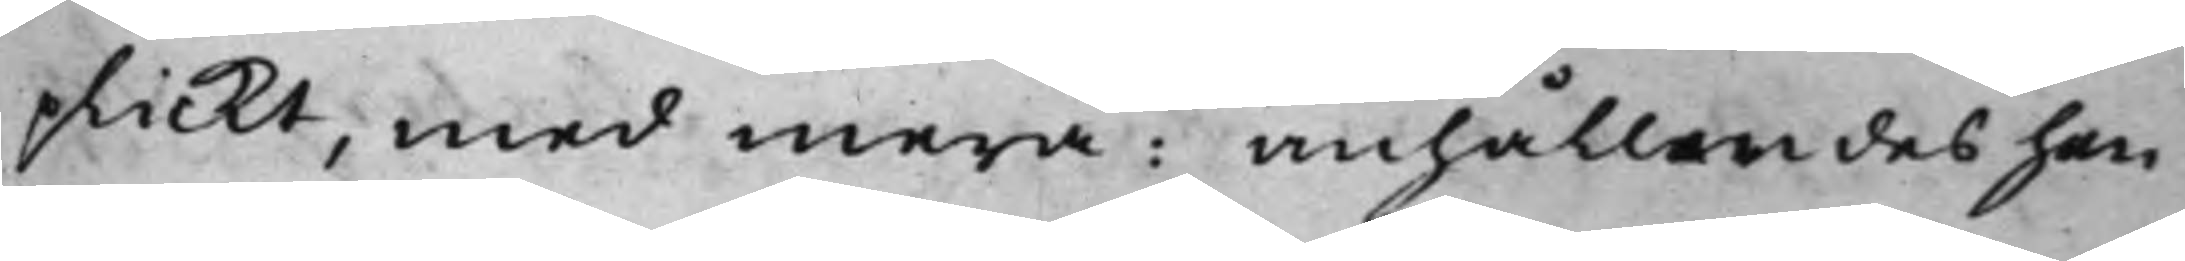plickt, med mera: anhållandes han
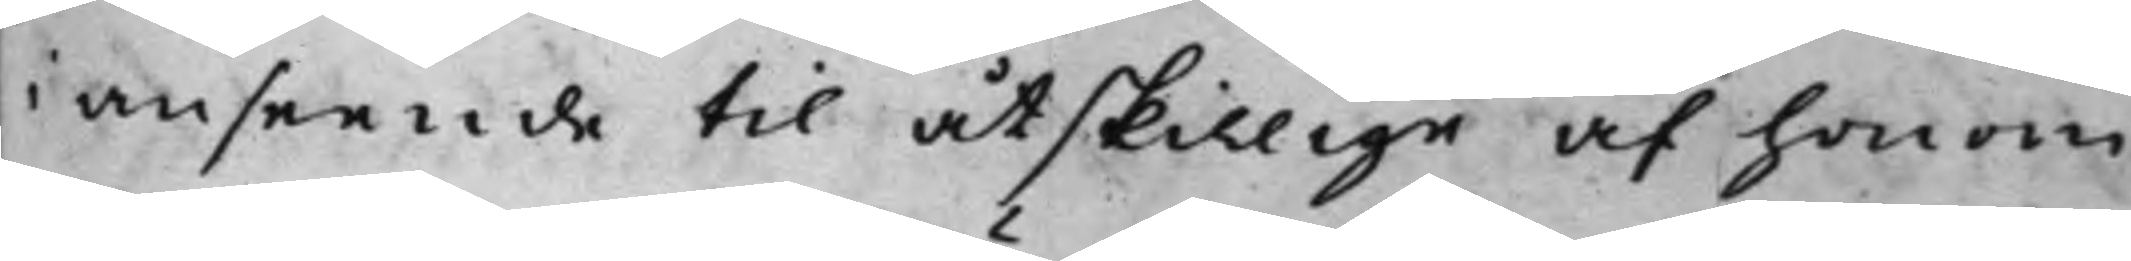i anseende till åtskillige af honom
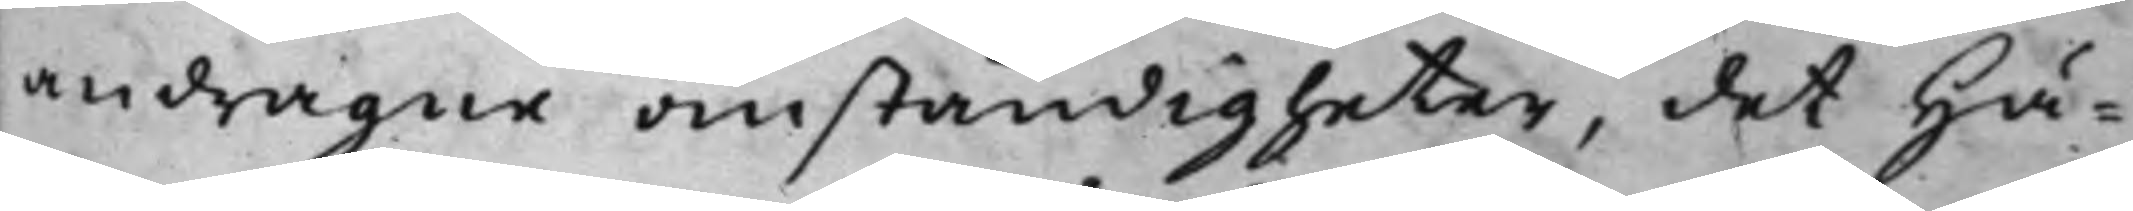andragne omständigheter, det Hä¬
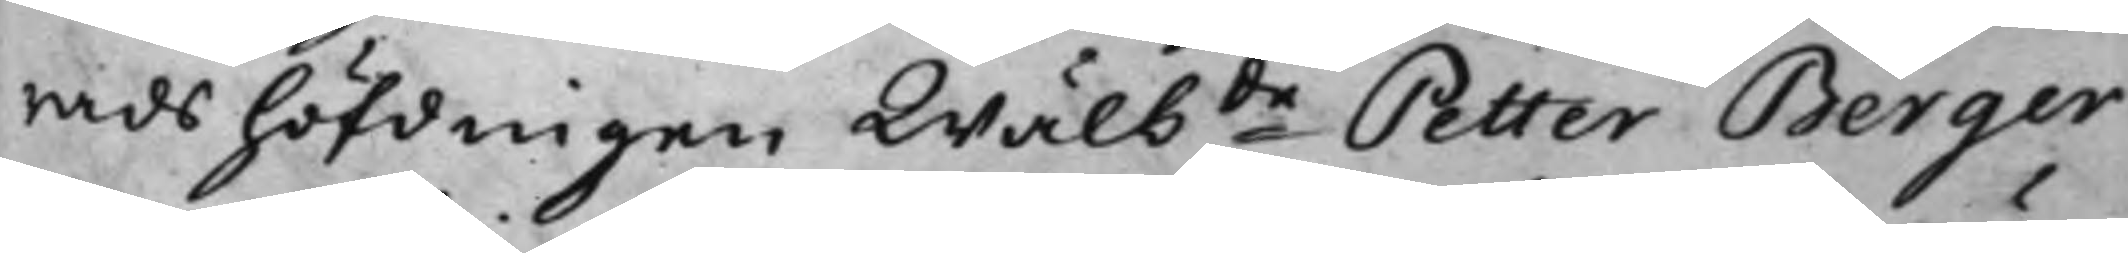radshöfdingen Wälbde Petter Berger
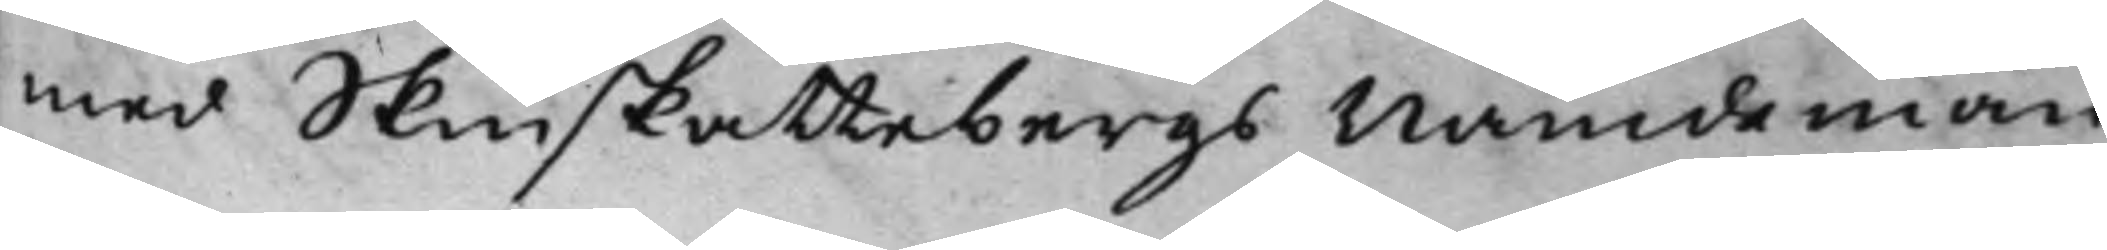med Skinskattebergs Nämdemän
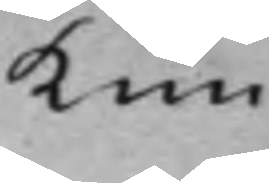kun¬
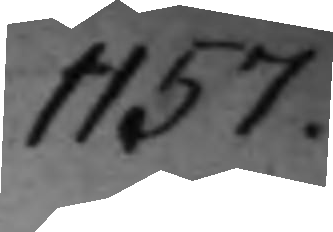1157.
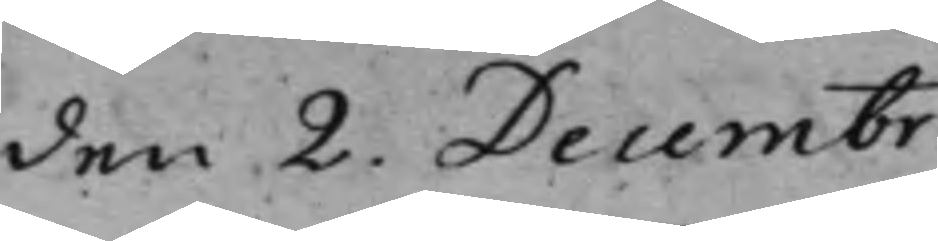den 2. Decembr.
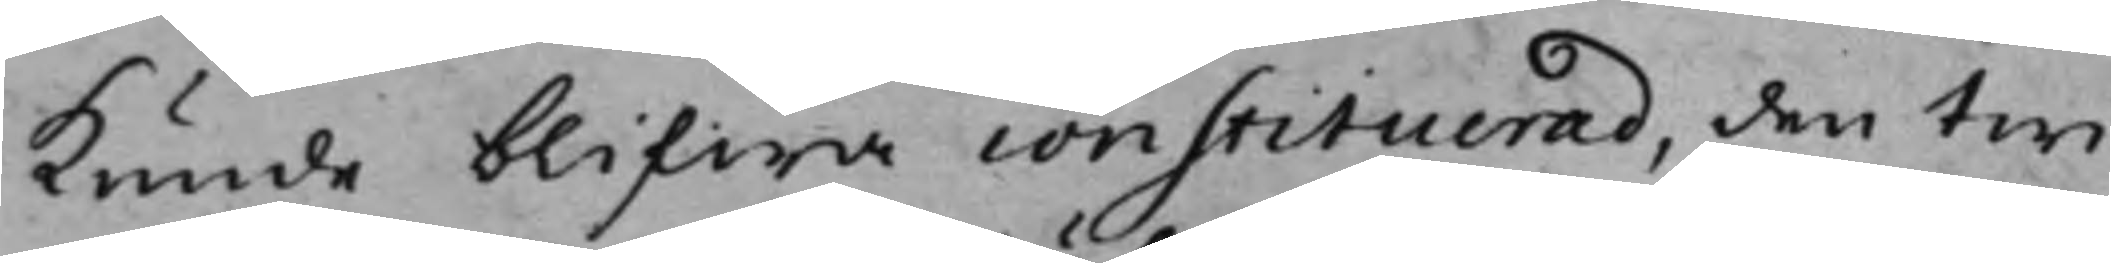kunde blifwa constituerad, den twi¬
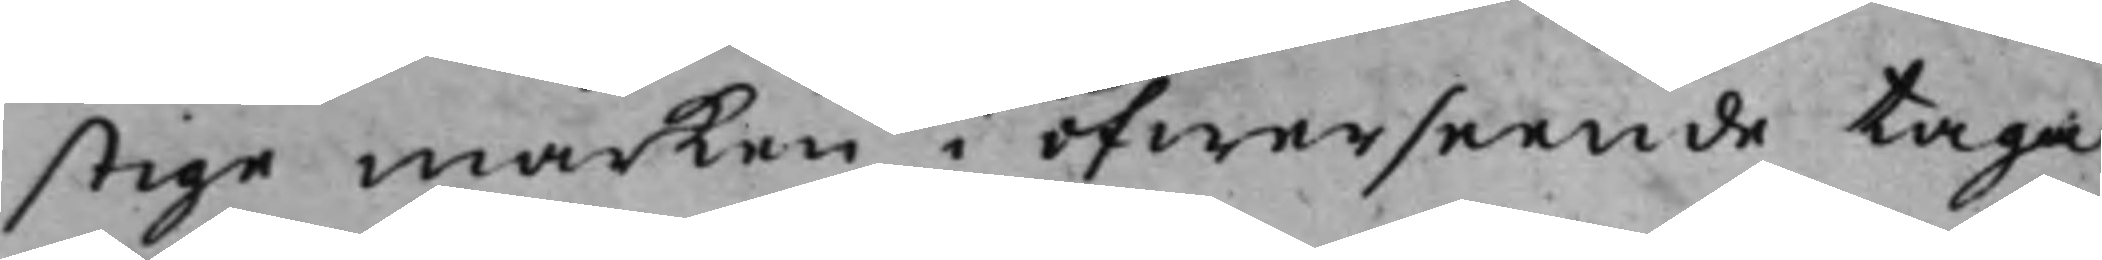stige marken i öfwerseende taga,
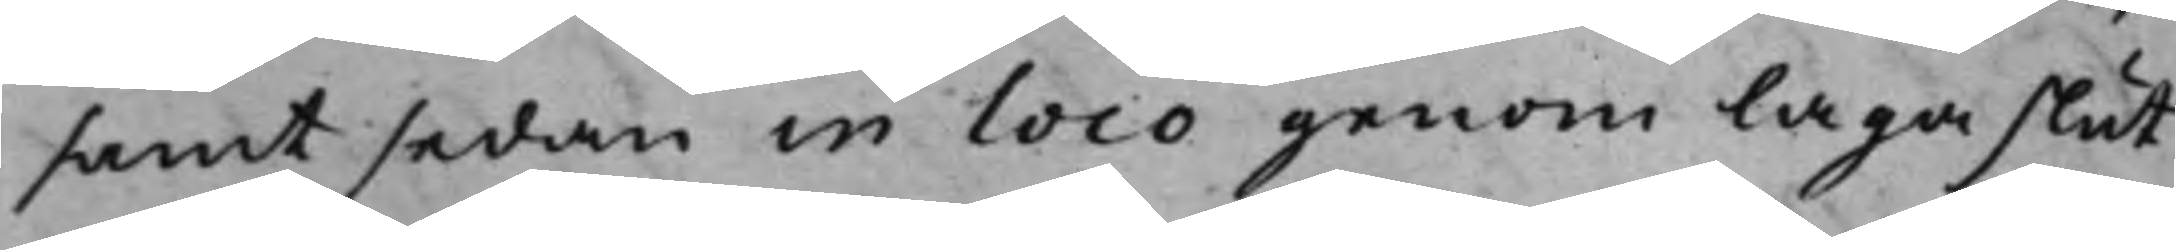samt sedan in loco genom laga slut
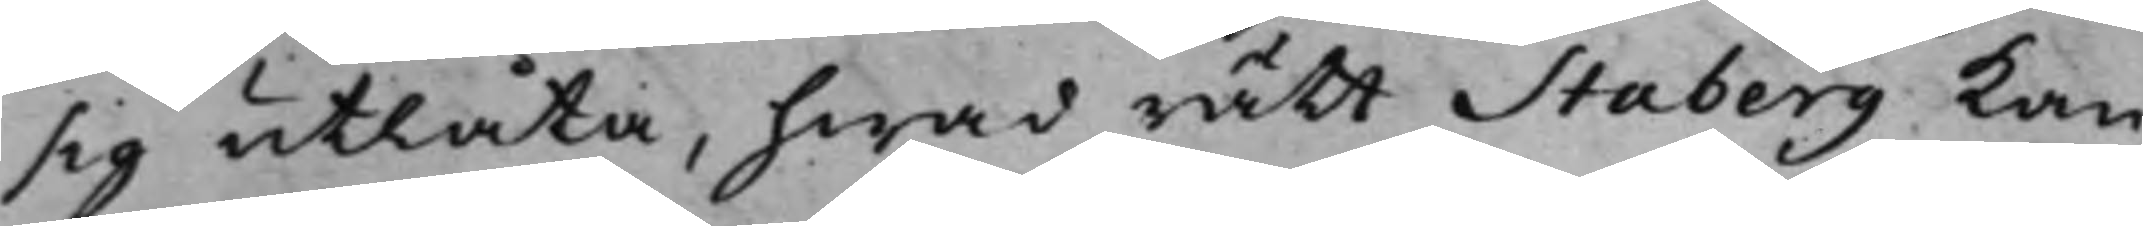sig utlåta, hwad rätt Staberg kan
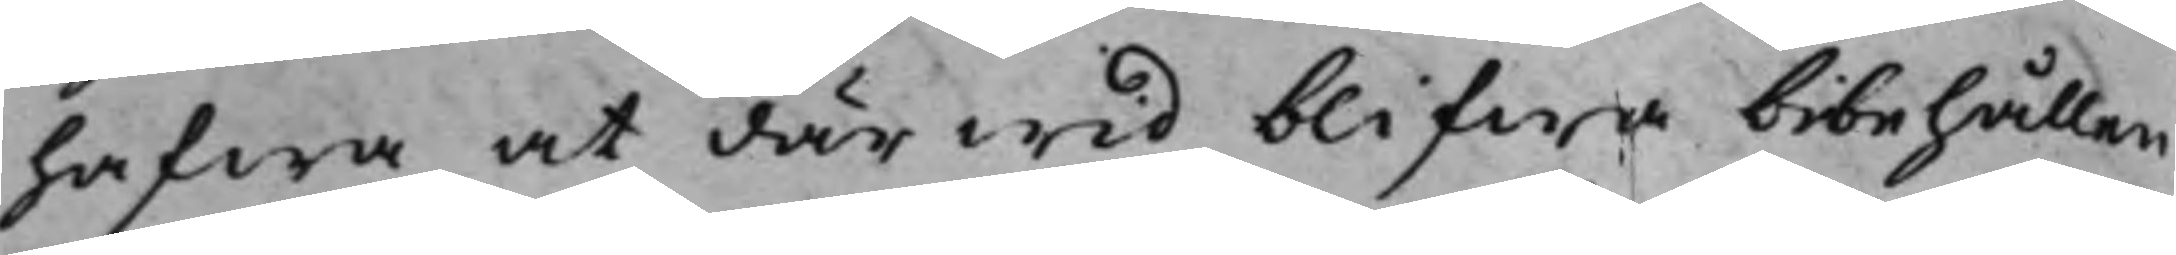hafwa at därwid blifwa bibehållen,
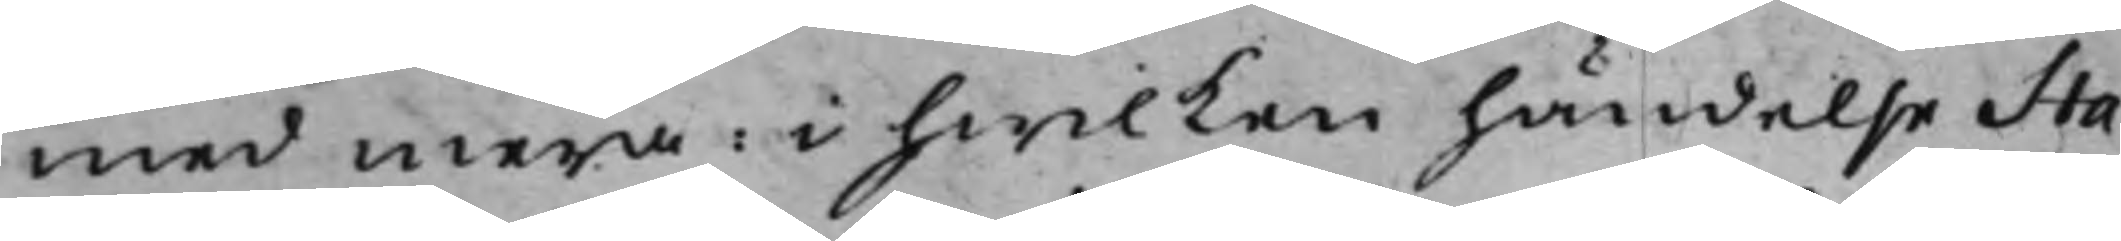med mera: i hwilken händelse Sta¬
